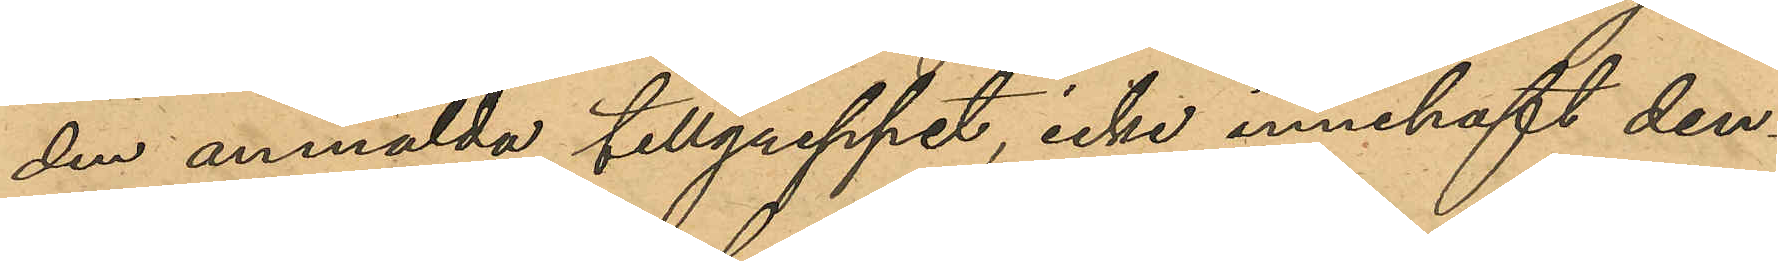den anmälda tillgreppet, icke innehaft den¬
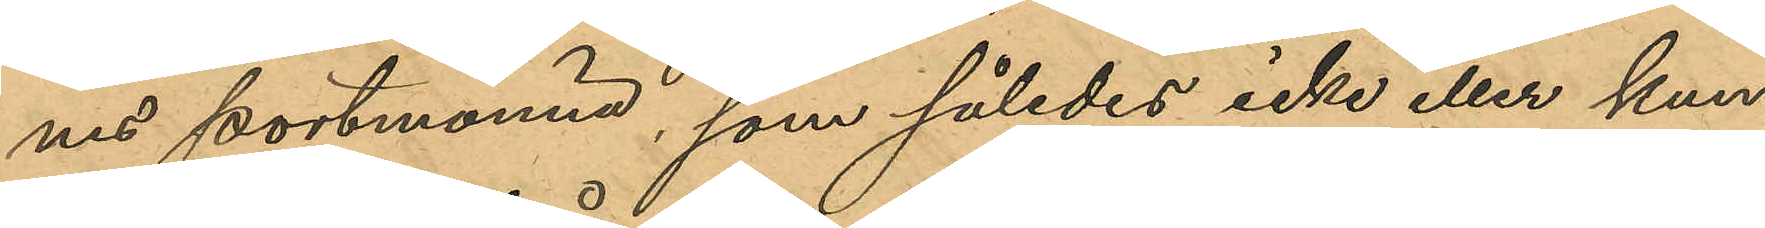nes portmonnä, som således icke eller kun¬
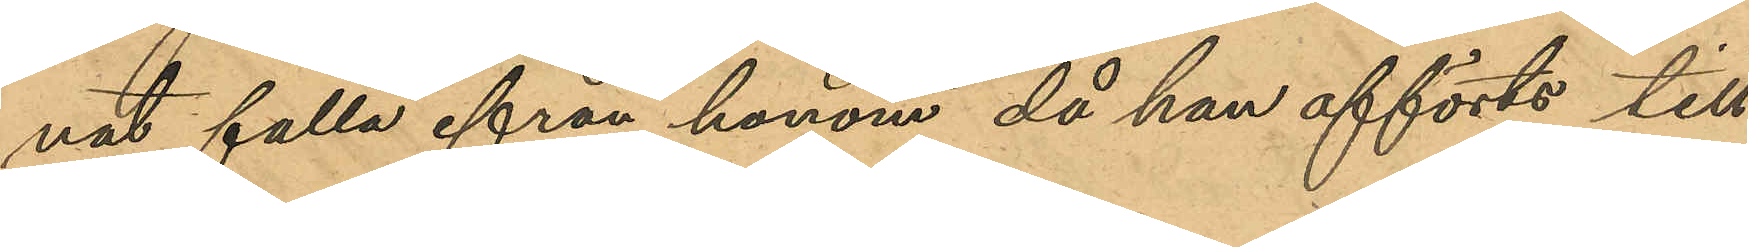nat falla ifrån honom då han afförts till
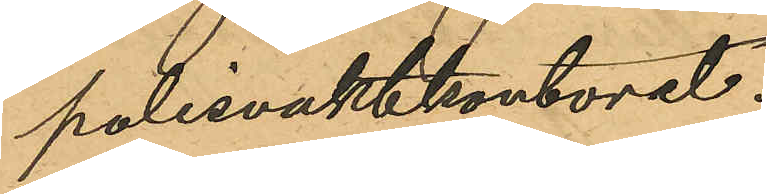polisvaktkontoret.
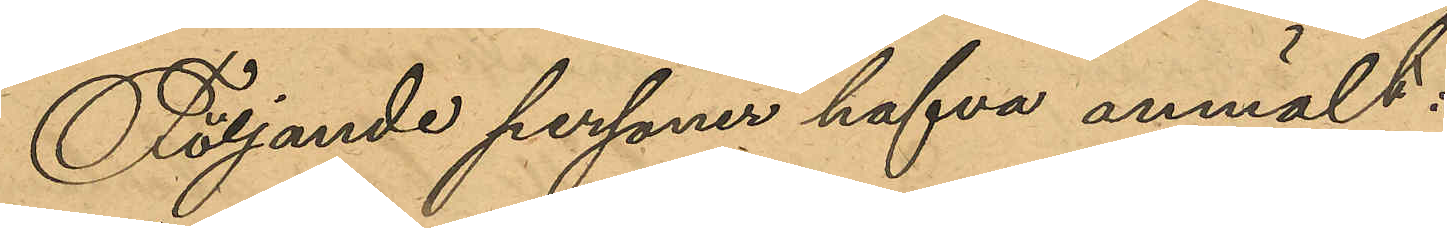Följande personer hafva anmält:
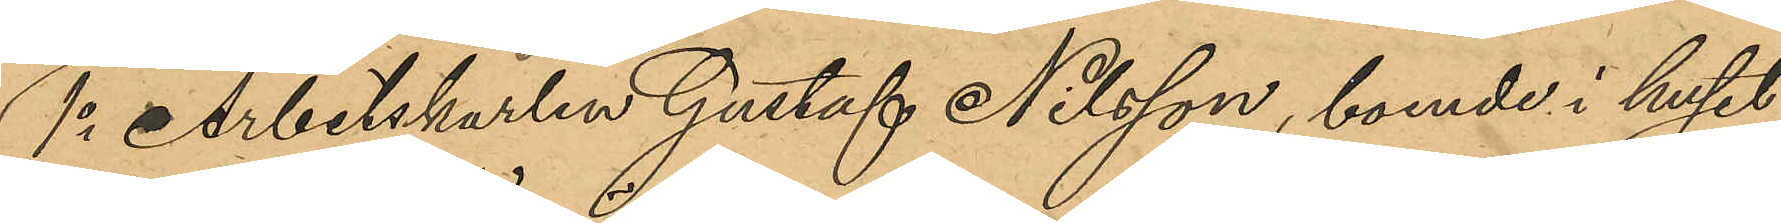1o Arbetskarlen Gustaf Nilsson, boende i huset
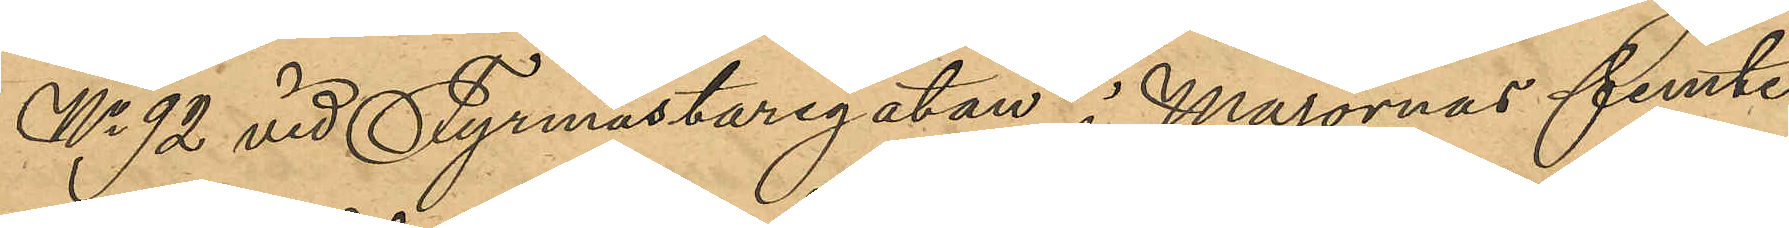No 92 vid Fyrmästaregatan i Majornas femte
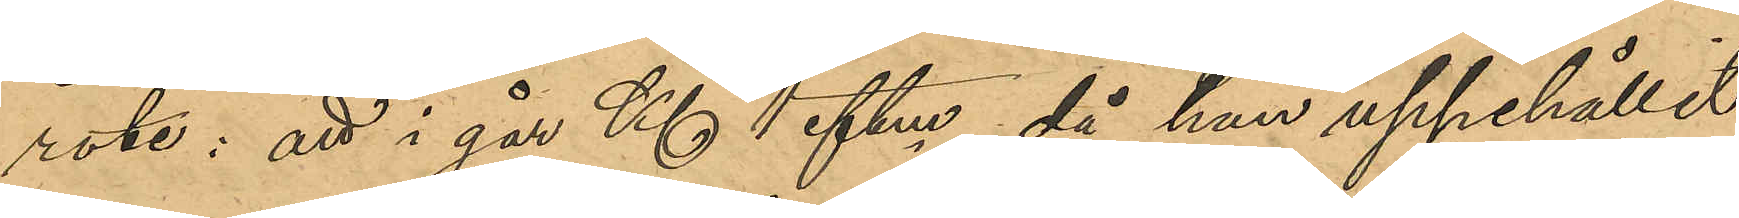rote: att i går Kl 1 eftm, då han uppehållit
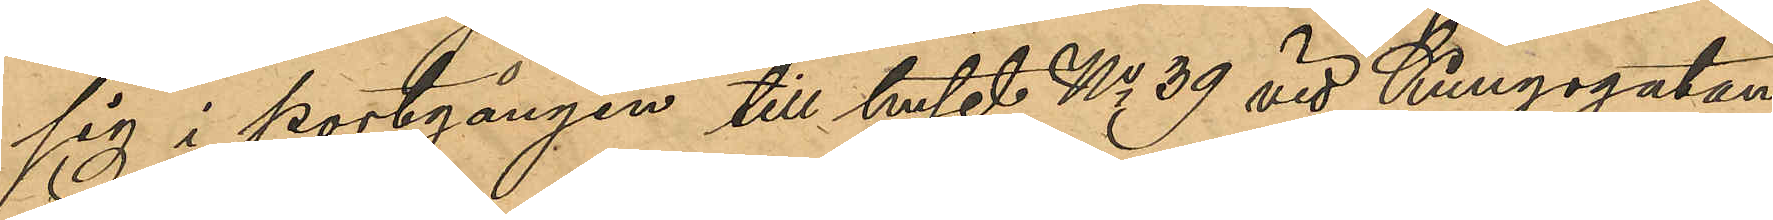sig i portgången till huset No 39 vid Kungsgatan
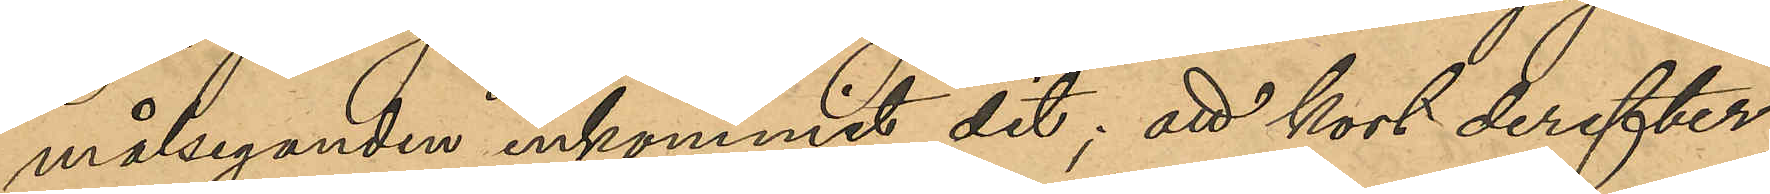målseganden inkommit dit; att kort derefter
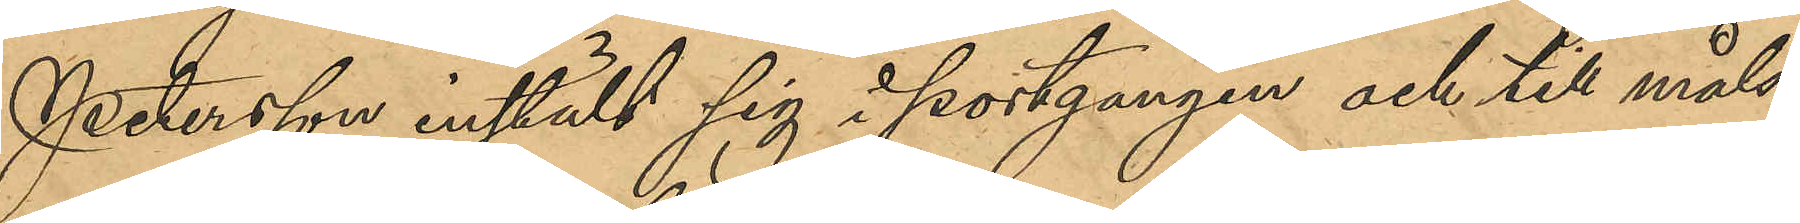Petersson instäldt sig i portgangen och till måls¬
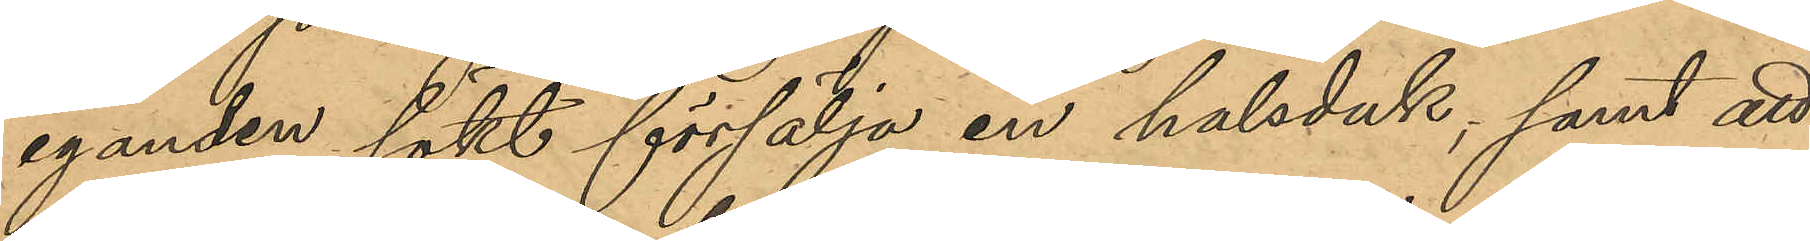eganden sökt försälja en halsduk, samt att
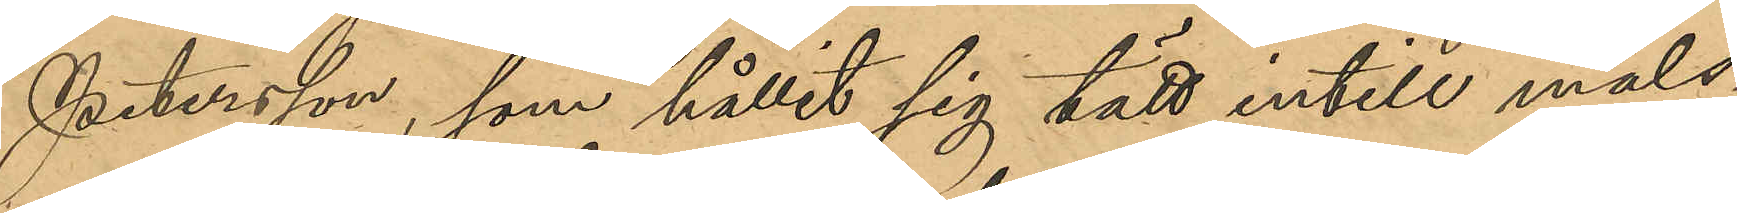Petersson, som hållit sig tätt intill måls¬
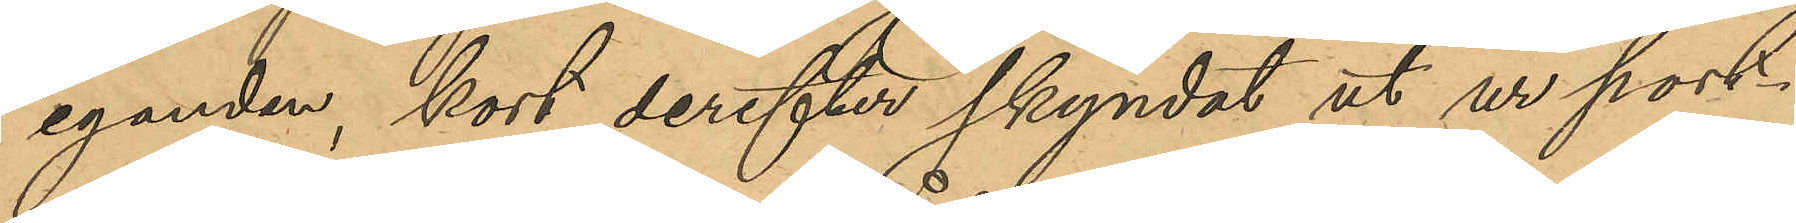eganden, kort derefter skyndat ut ur port¬
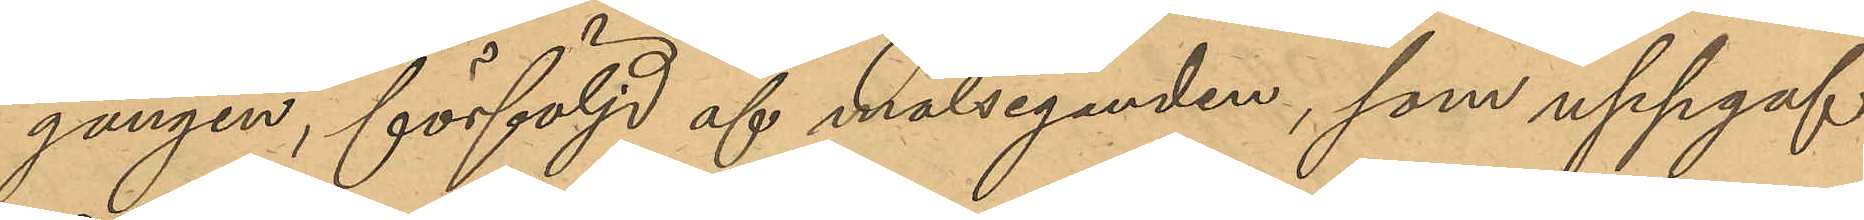gången, förföljd af målseganden, som uppgaf
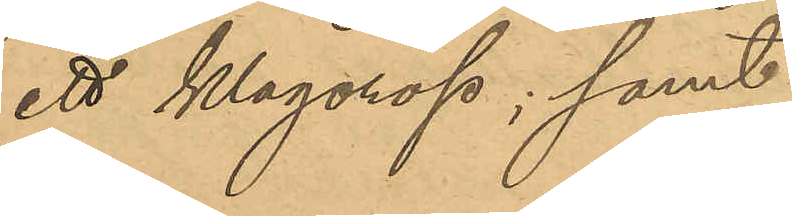ett klagorop; samt
